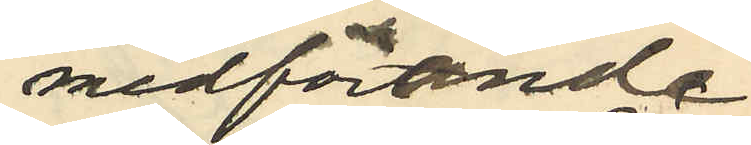medförande
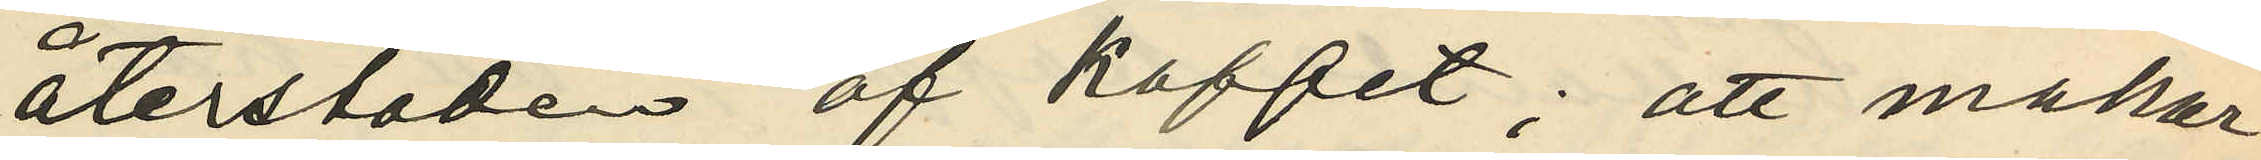återstoden af kaffet; att makar¬
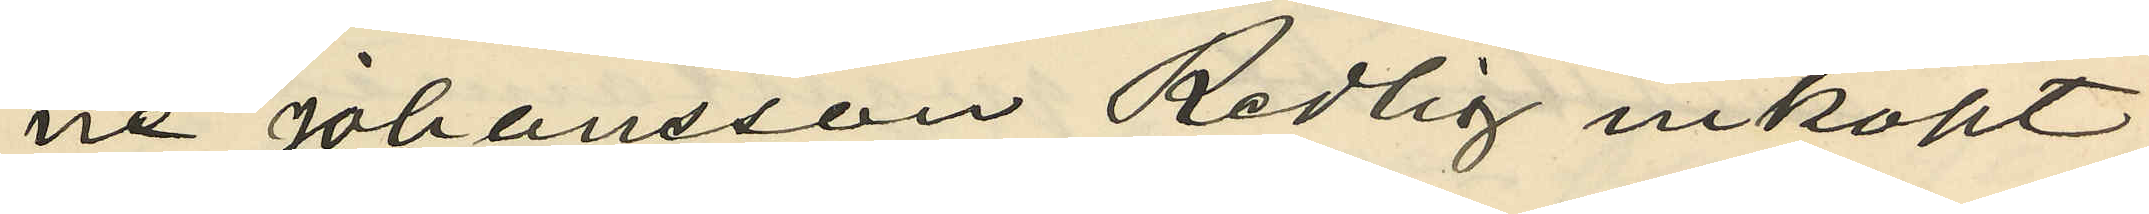ne Johansson Redlig inköpt
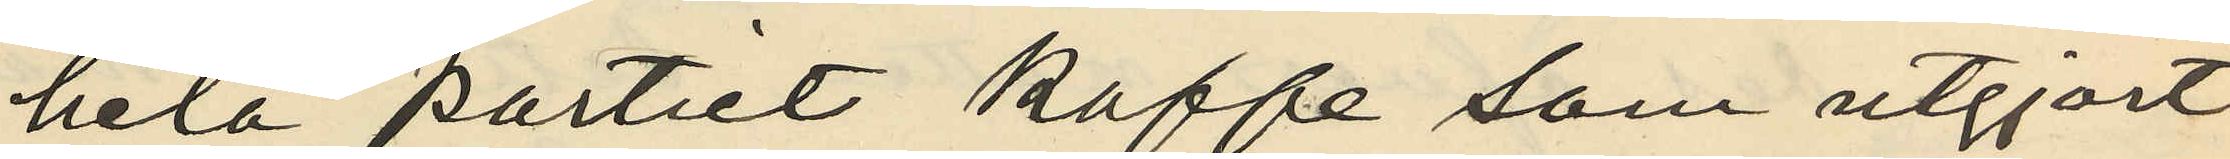hela partiet kaffe som utgjort
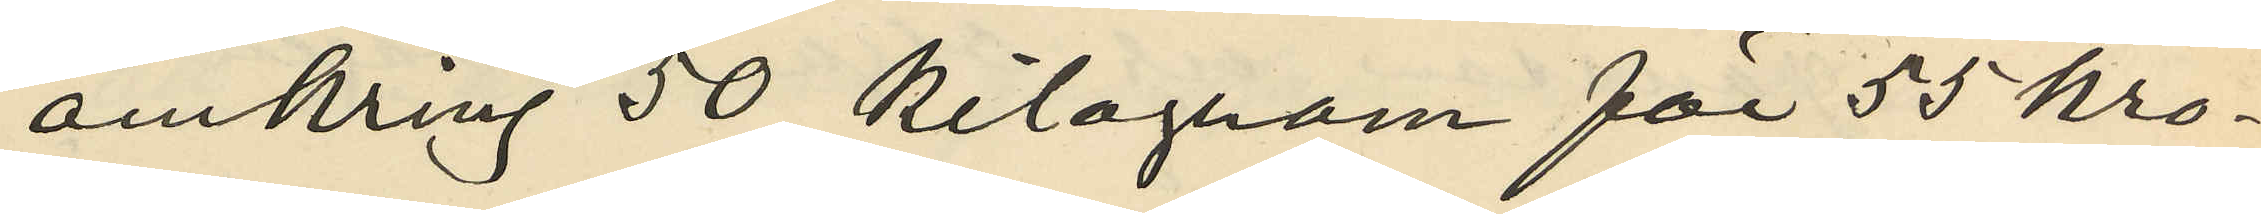omkring 50 kilogram för 55 kro¬
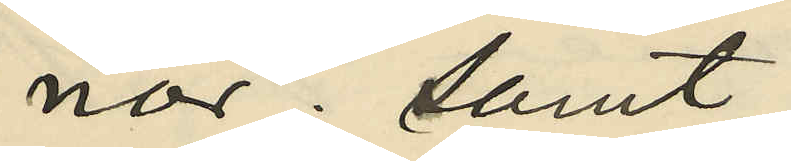nor; samt
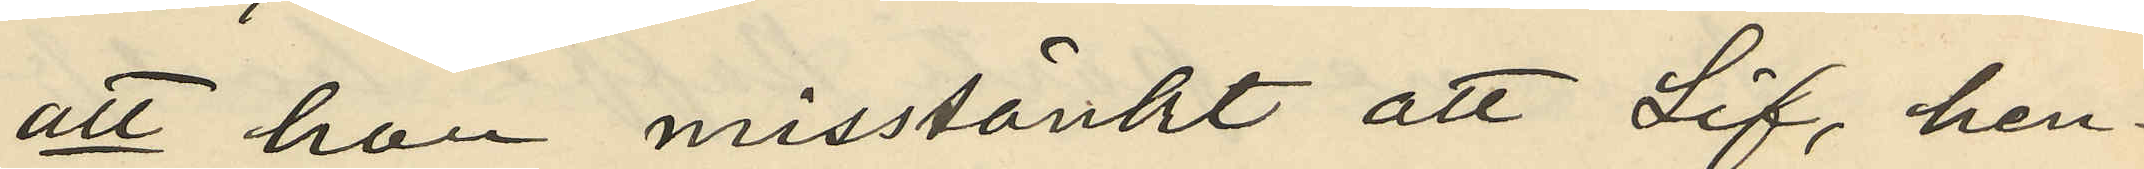att hon misstänkt att Lif, hen¬
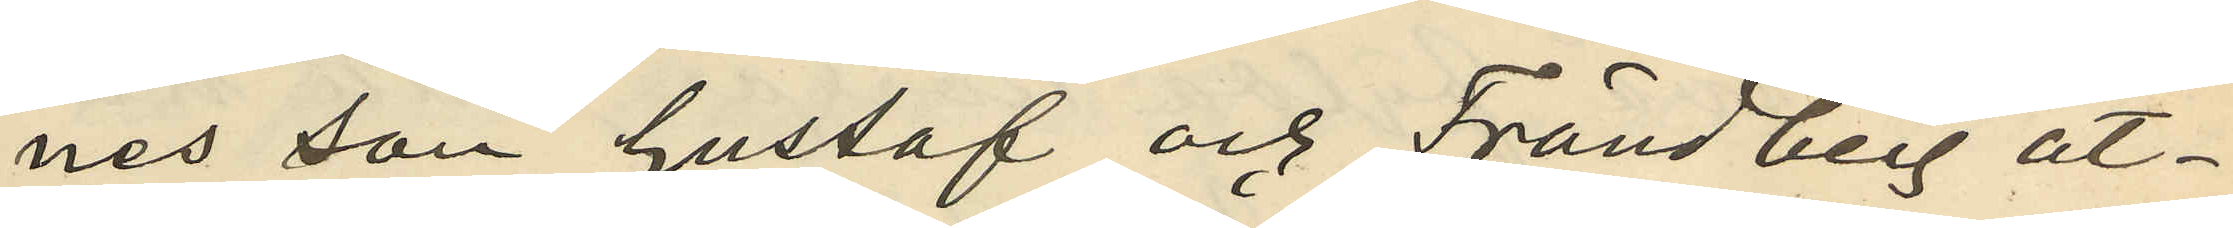nes son Gustaf och Frändberg åt¬
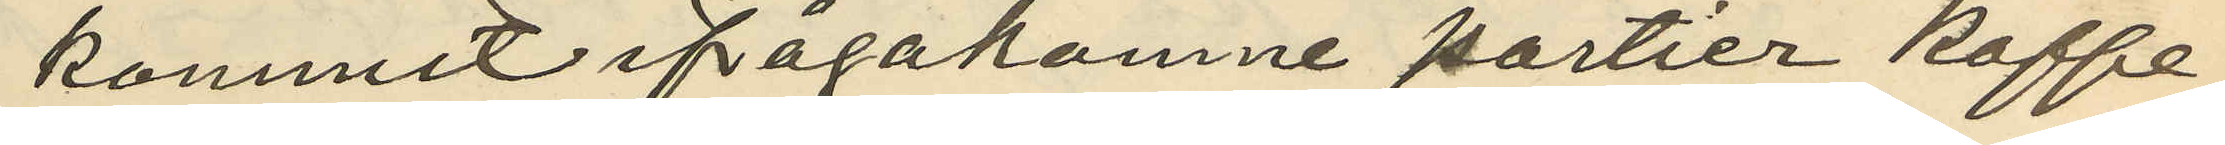kommit ifågakomne partier kaffe
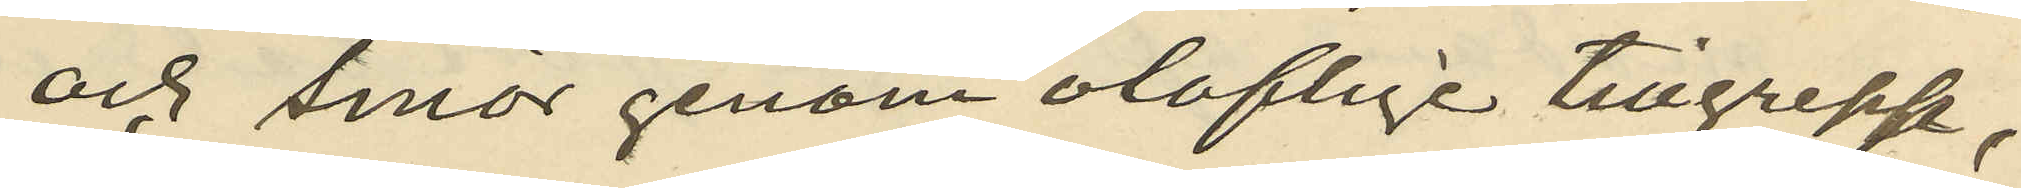och smör genom oloflige tillgrepp;
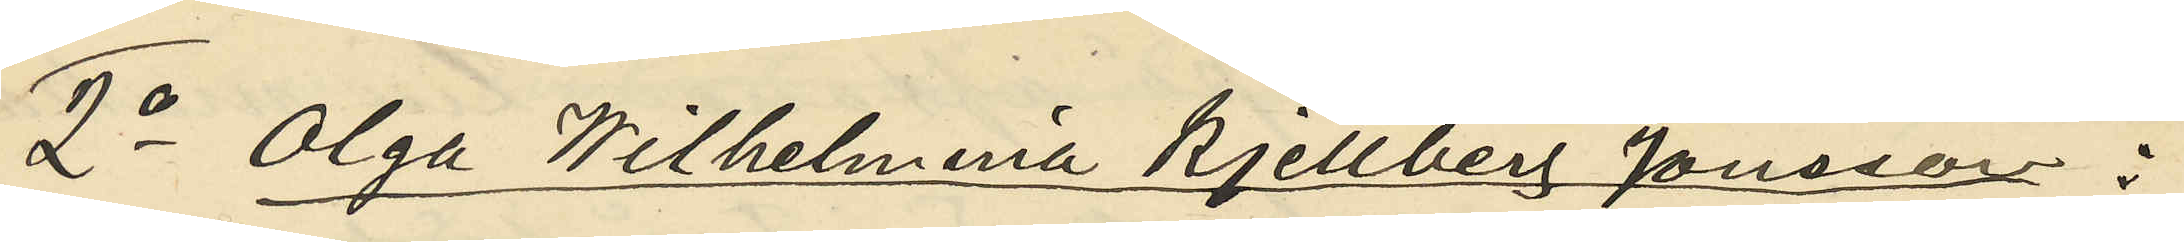2o Olga Wilhelmina Kjellberg Jönsson :
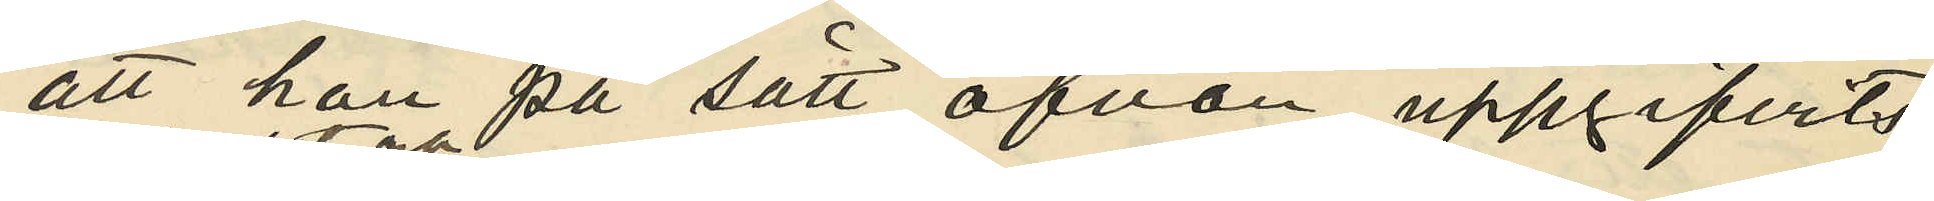att hon på sätt ofvan uppgifvits
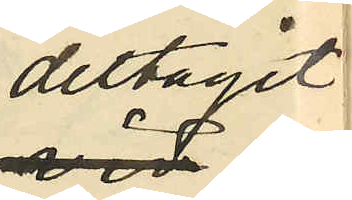deltagit
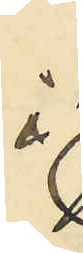i
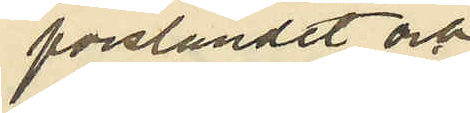forslandet och
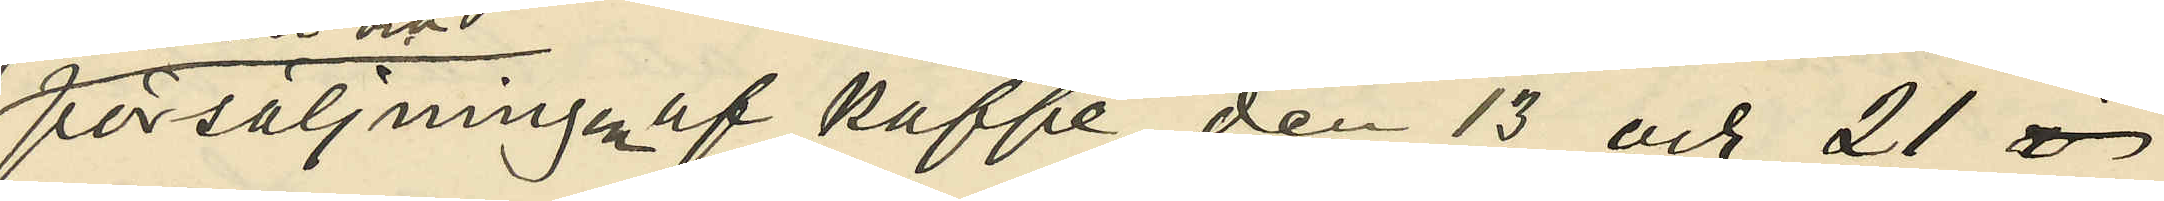försäljningen af kaffe den 13 och 21
